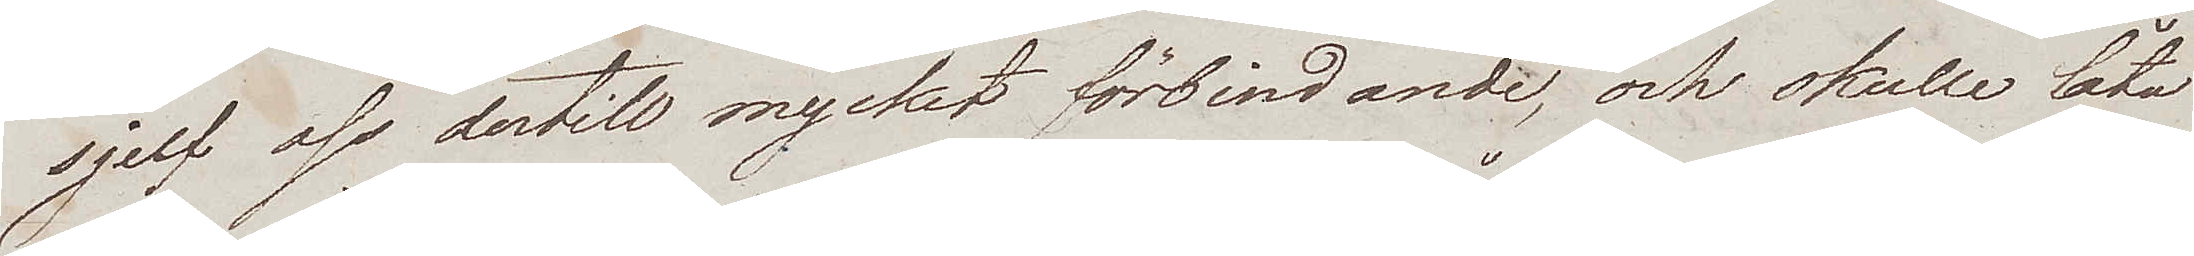sjelf oss dertill mycket förbindande, och skulle låta
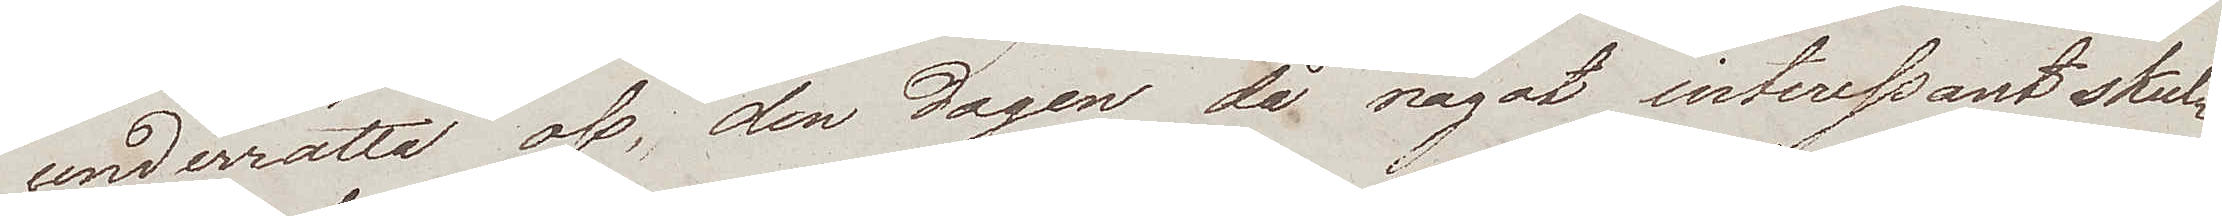underrätta oss, den dagen då något interessant skul¬
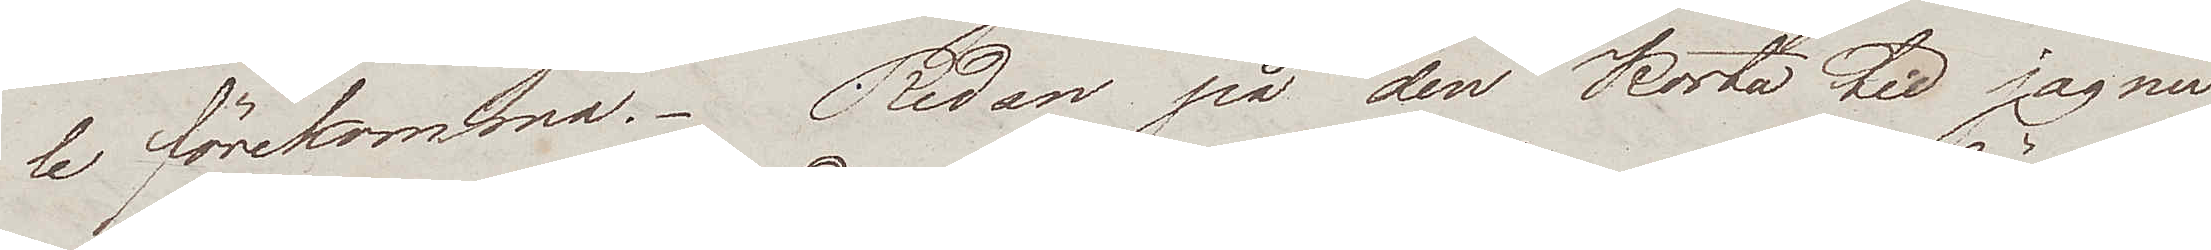le förekomma. Redan på den korta tid jag nu
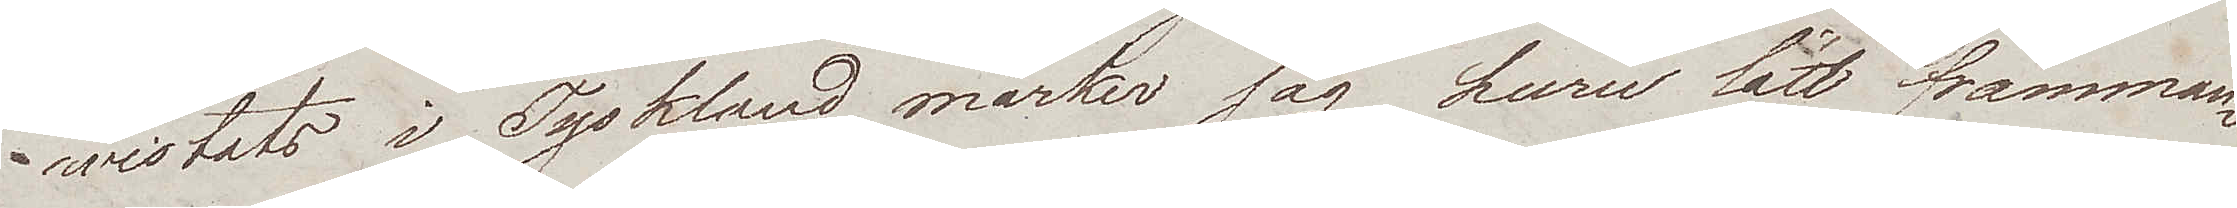wistats i Tyskland märker jag huru lätt främman¬
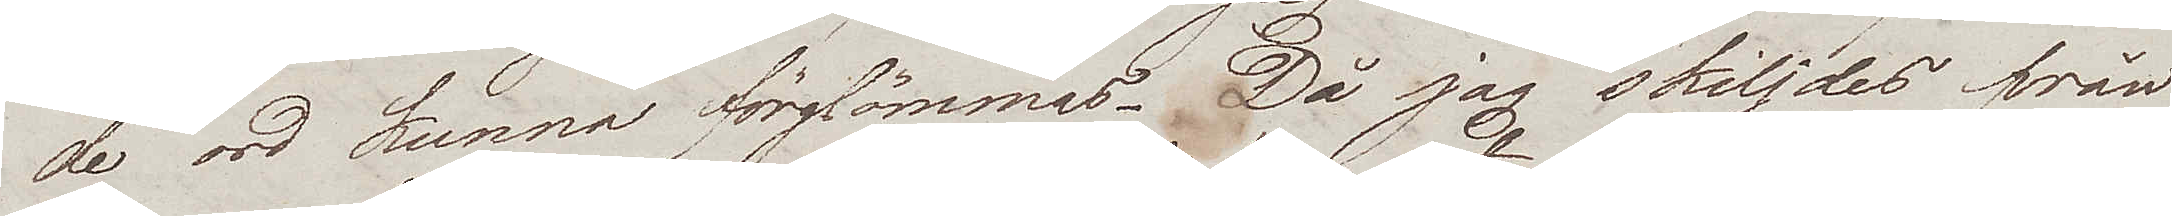de ord kunna förglömmas. Då jag skiljdes från
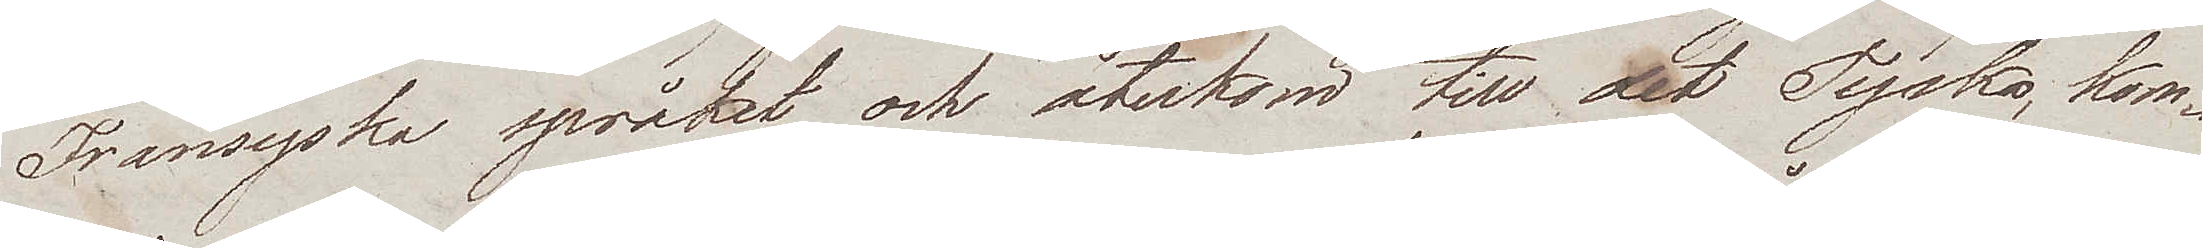Fransyska språket och återkom till det Tyska, kom¬
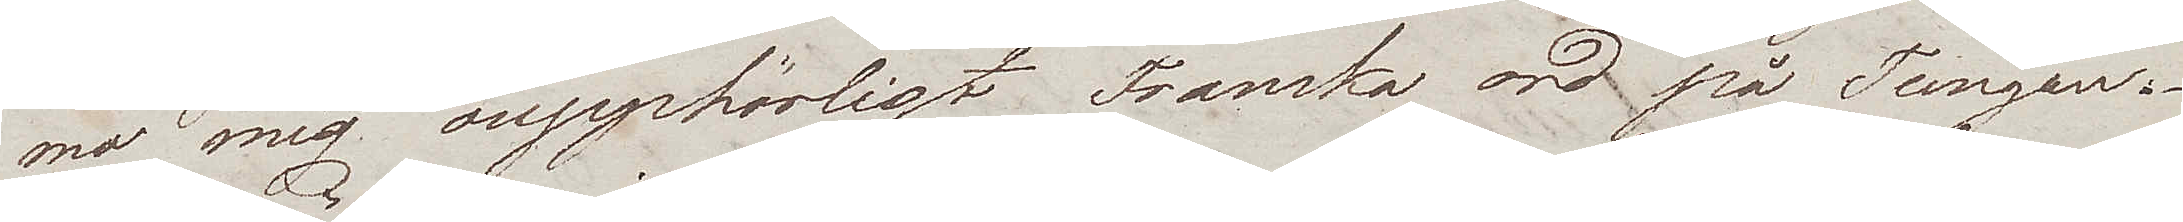mo mig oupphörligt Franska ord på Tungan.
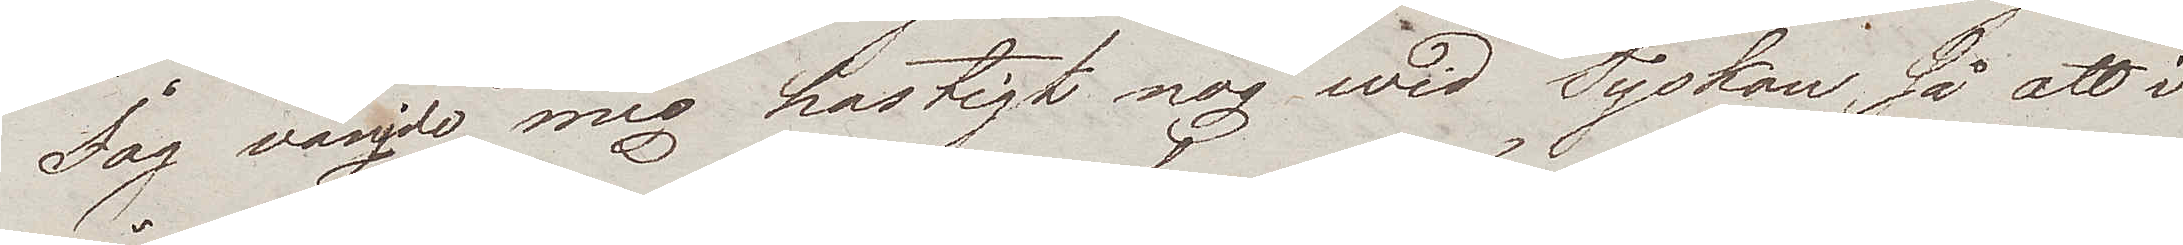Jag vänjde mig hastigt nog wid Tyskan, så att i
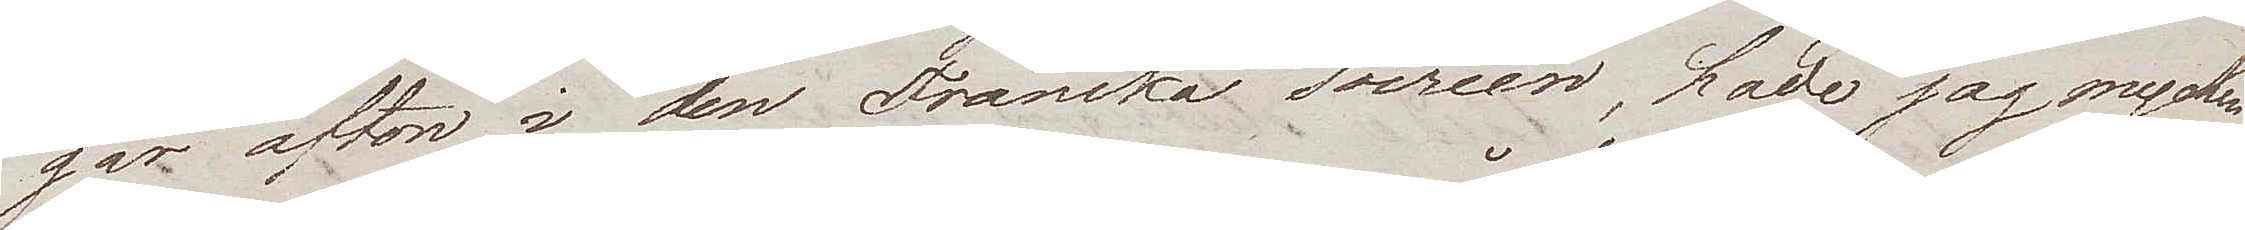går afton i den Franska soiréen, hade jag mycken
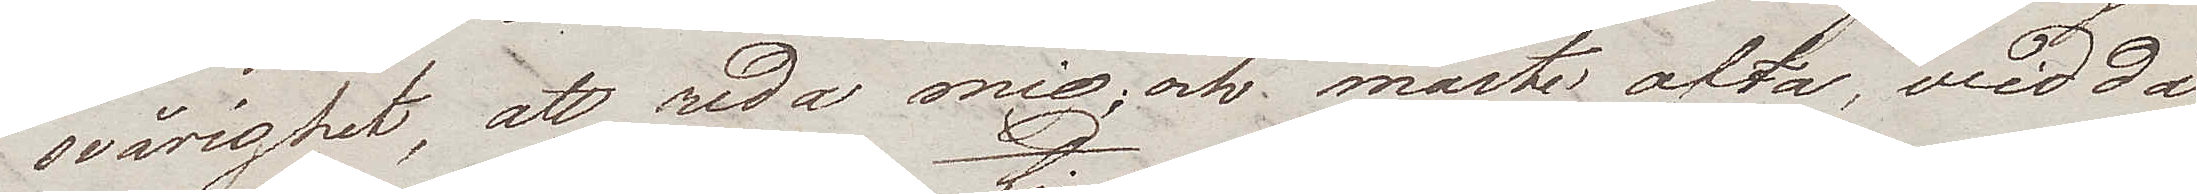svårighet, att reda mig, och måste ofta, wid då
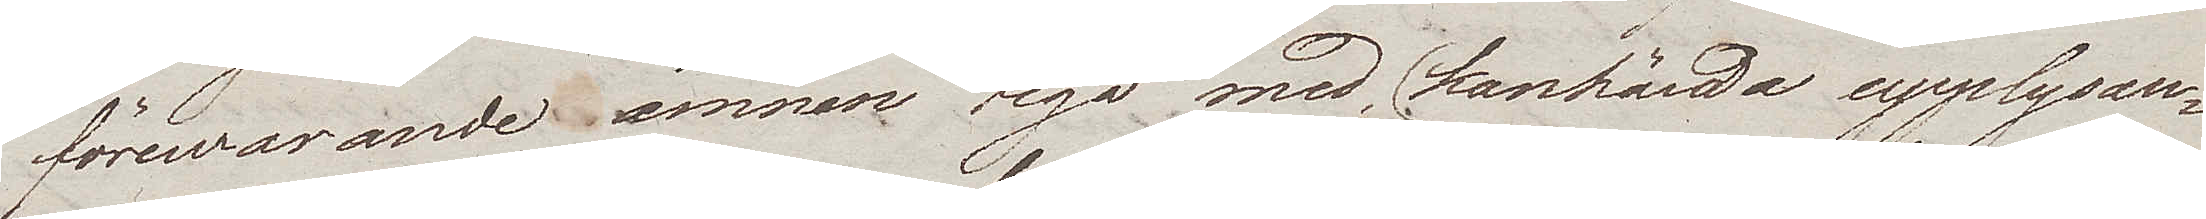förewarande ämnen tiga med (kanhända upplysan¬
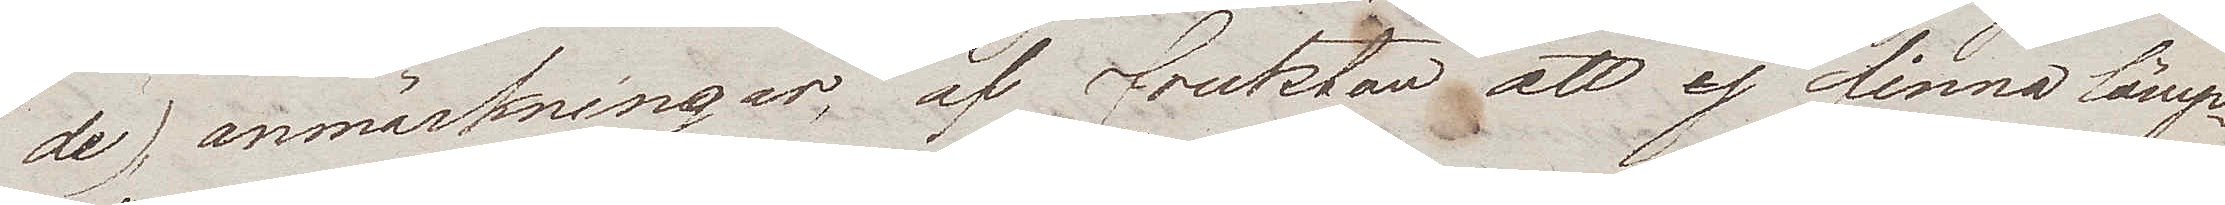de) anmärkningar, af fruktan att ej finna lämp¬
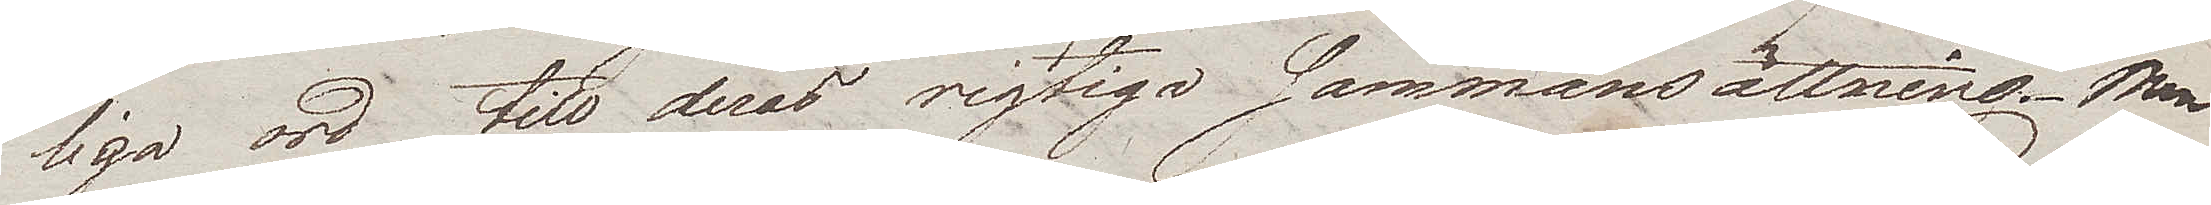liga ord till deras rigtiga sammansättning. Men
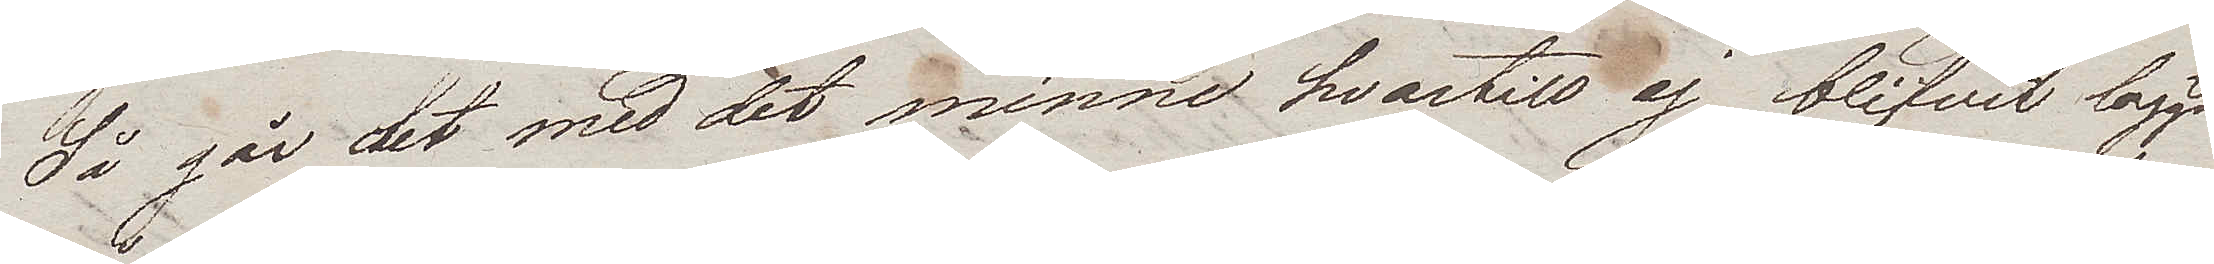Så går det med det minne hvartill ej blifvit laggd
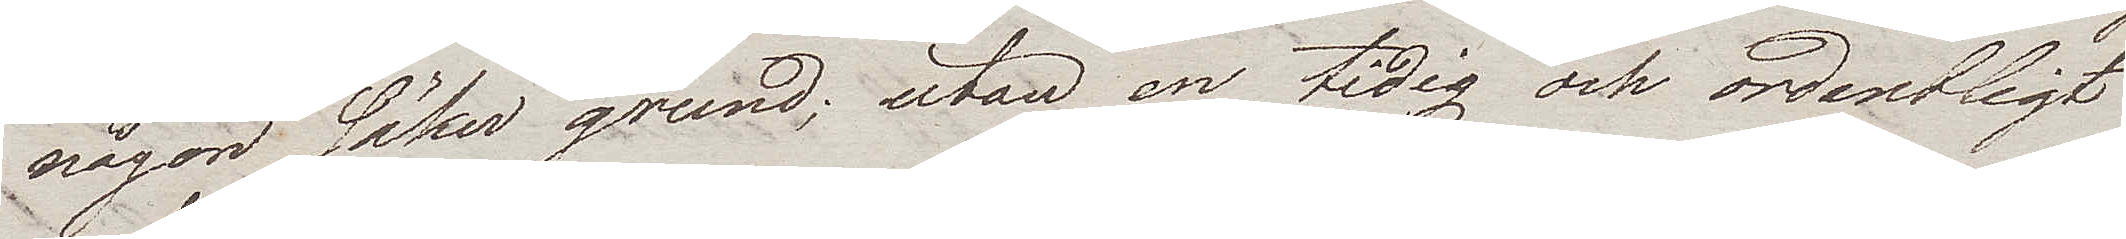någon säker grund; utan en tidig och ordentligt
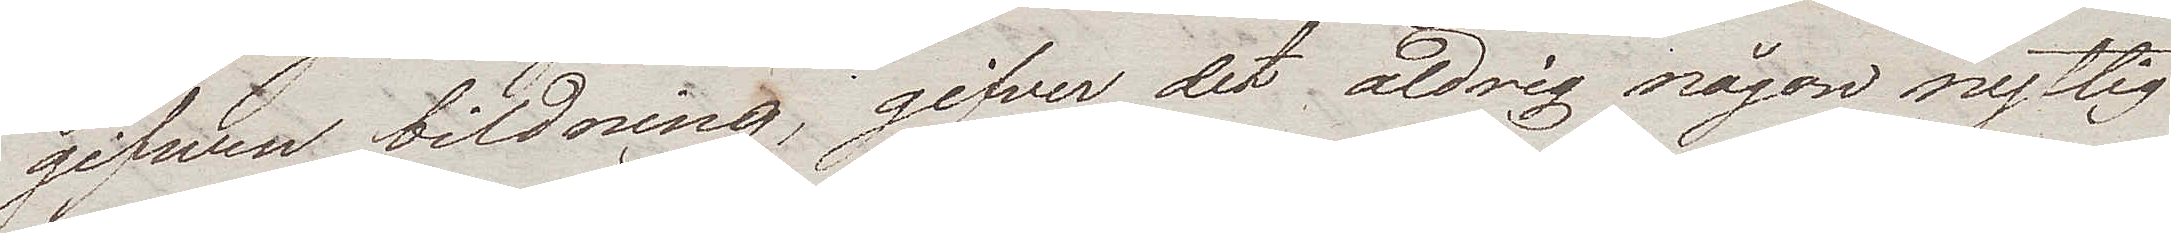gifwen bildning, gifver det aldrig någon nyttig
